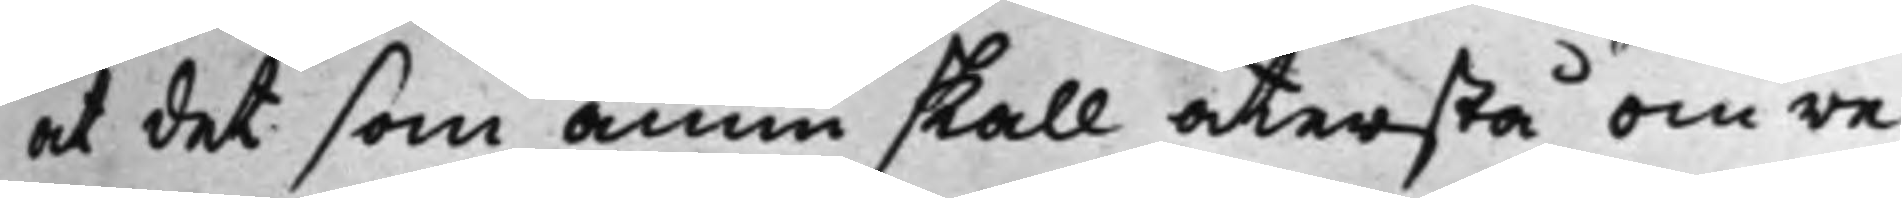at det som ännu skall återstå om re¬
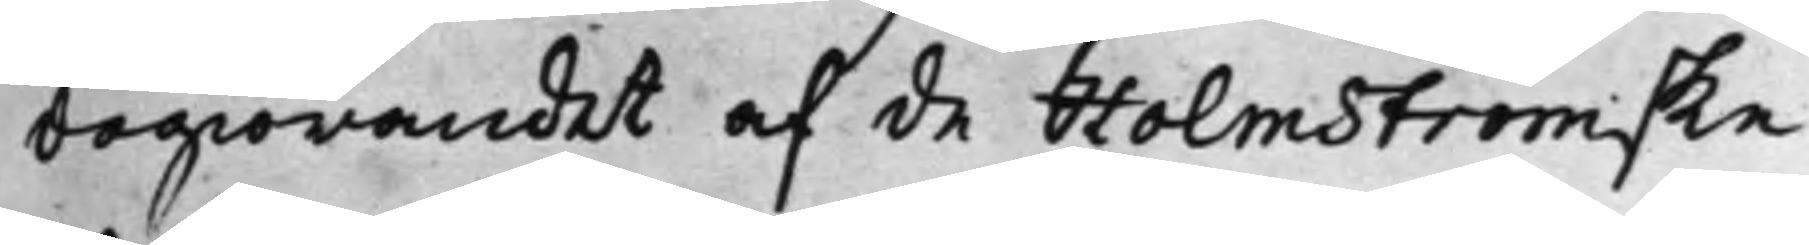dogiörandet af de Holmströmske
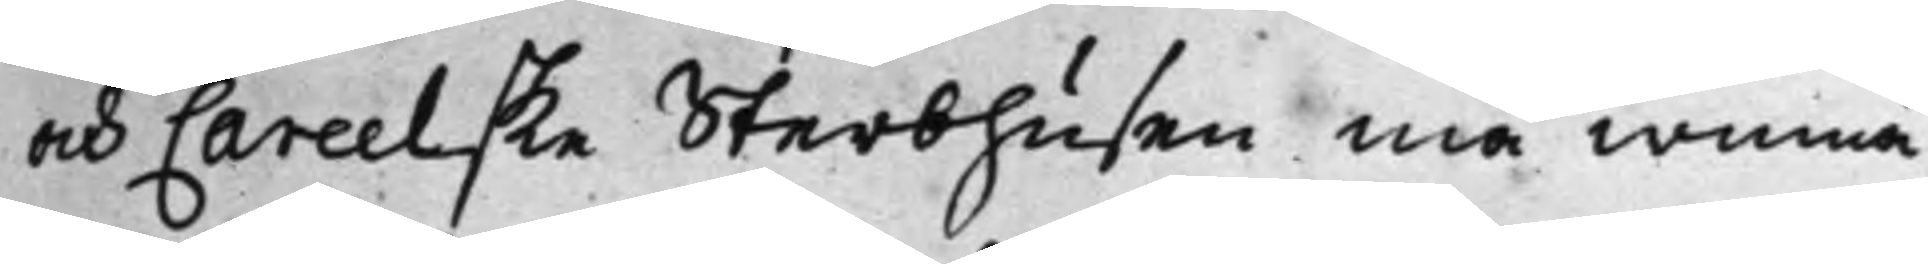och Careelske Sterbhusen må winna
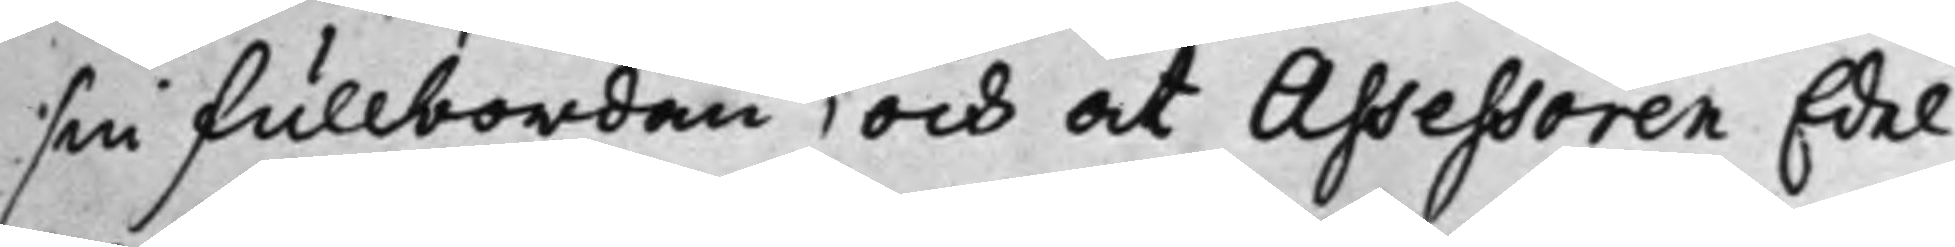sin fullbordan, och at Assessoren Edel
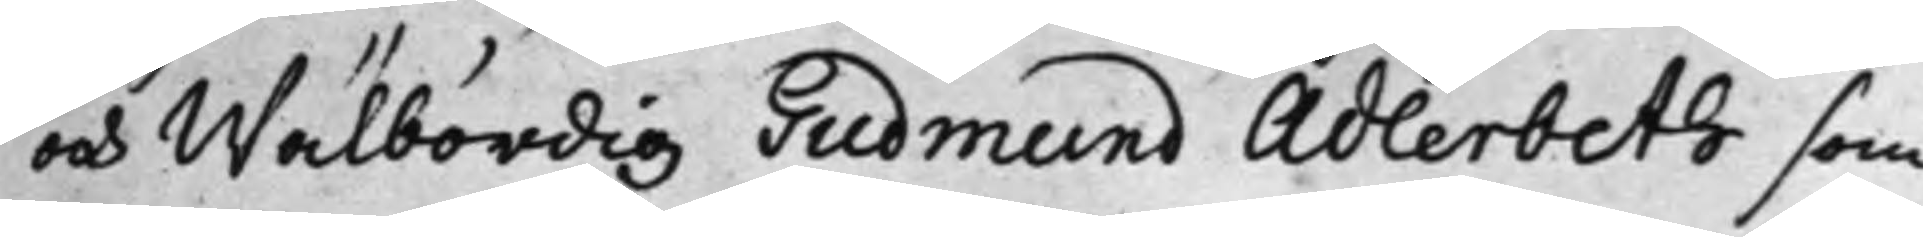och Wälbördig Gudmund Adlerbeth som
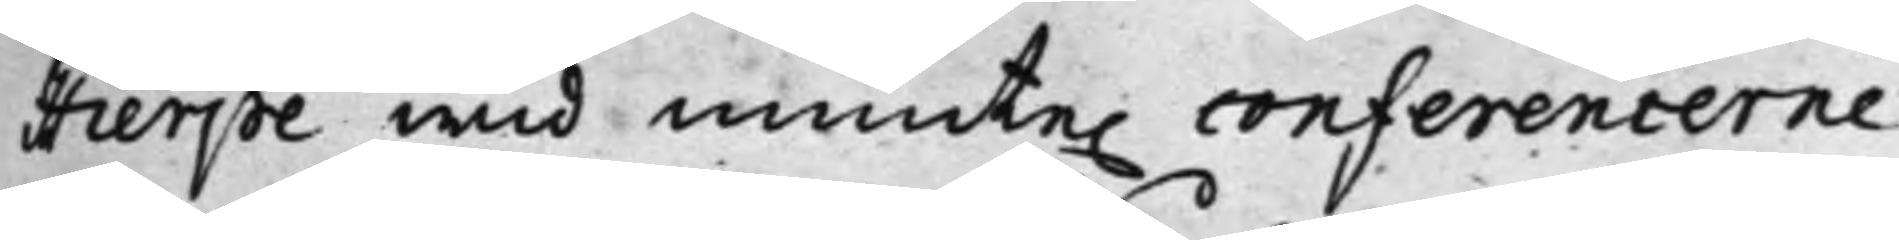Hierpe wid munte. conferencerne
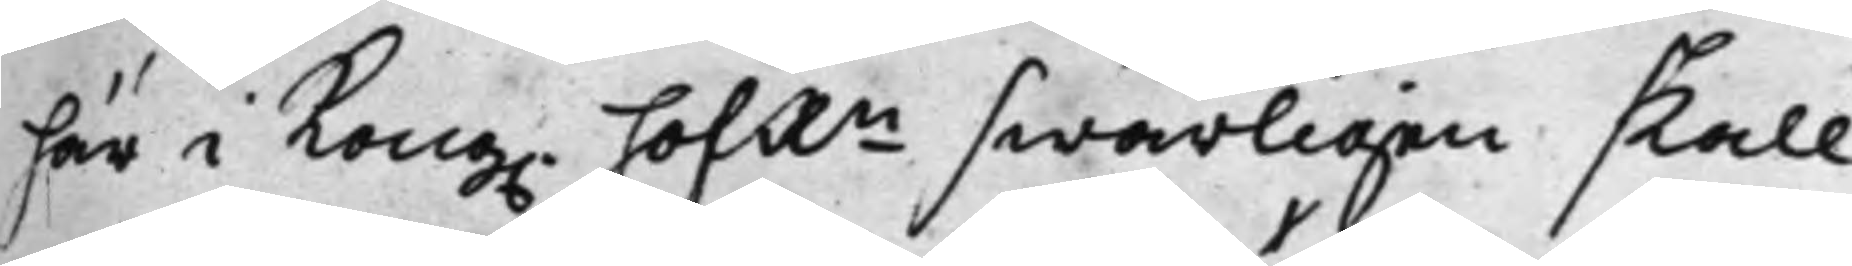här i Kong. HofRn swårligen skall
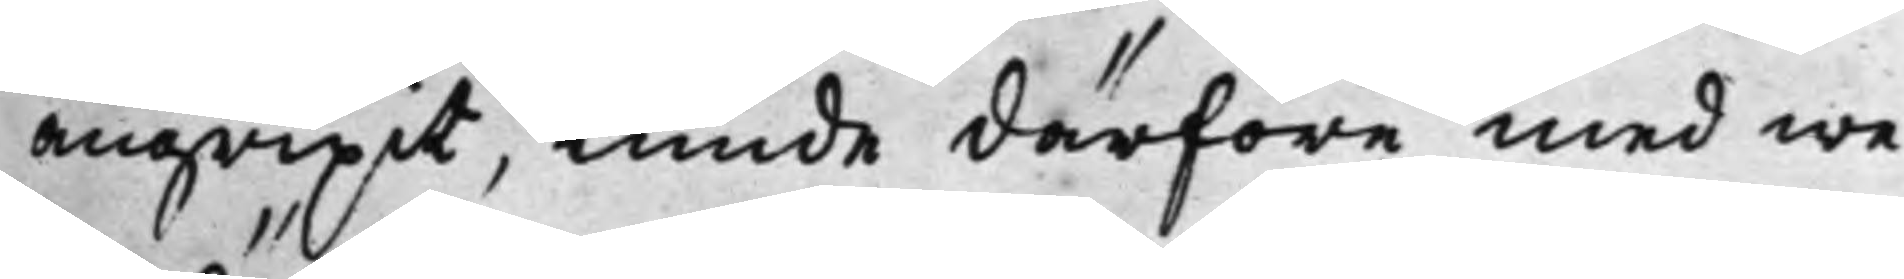angripit, kunde därföre med we¬
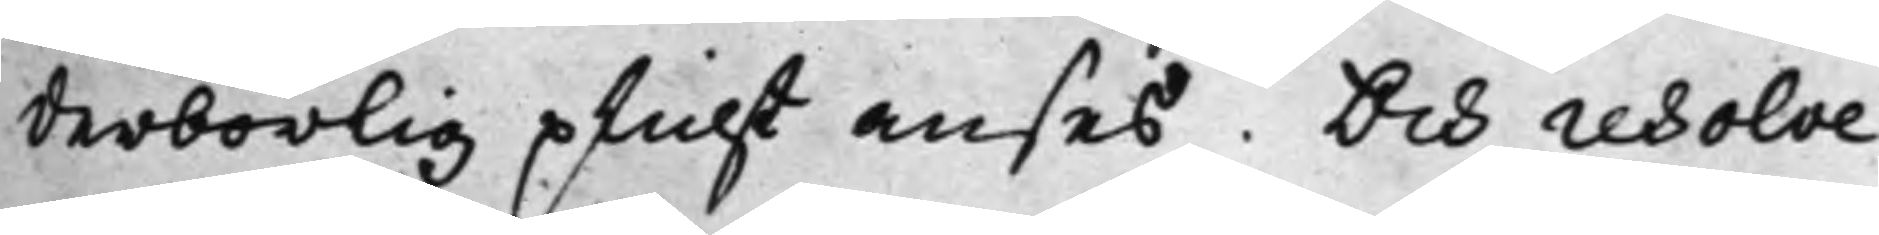derbörlig plicht anses. Och resolve¬
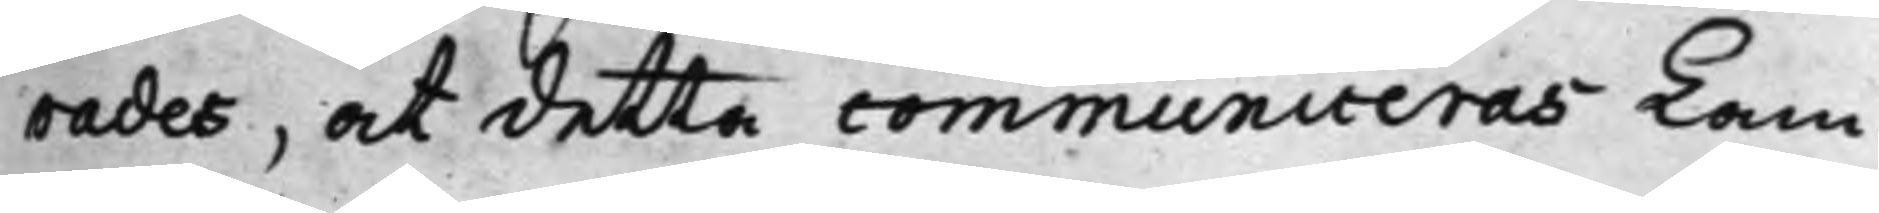rades, at detta communiceras Kam¬
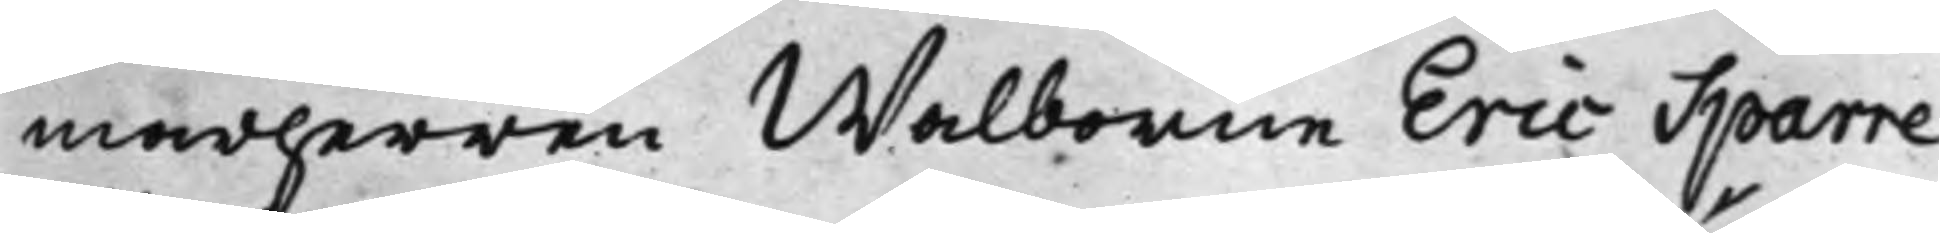marherren Wälborne Eric Sparre
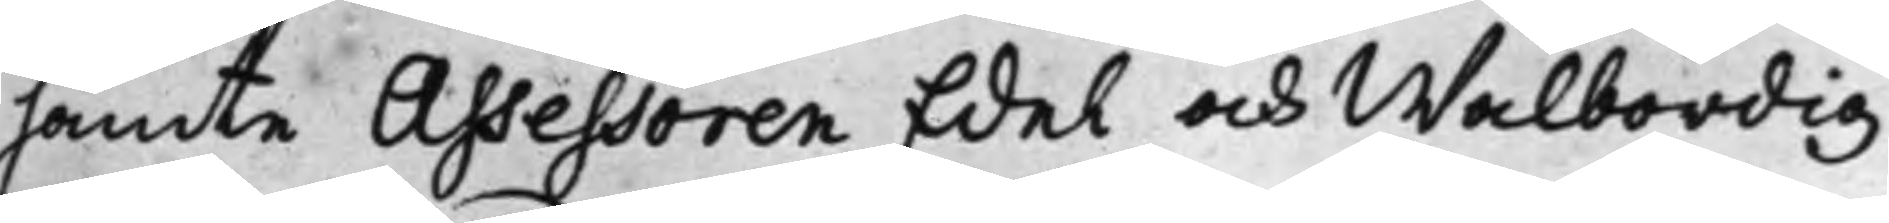jämte Assessoren Edel och Wälbördig
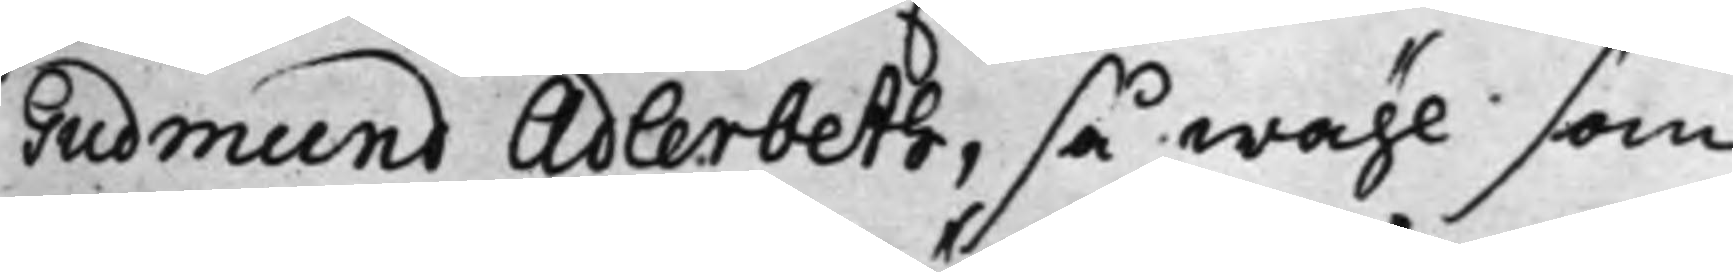Gudmund Adlerbeth, så wähl som
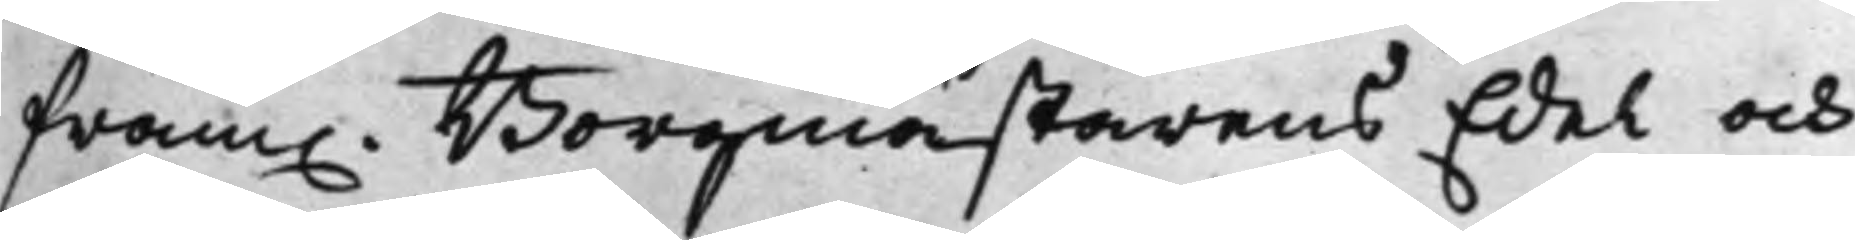fram. Borgmästarens Edel och
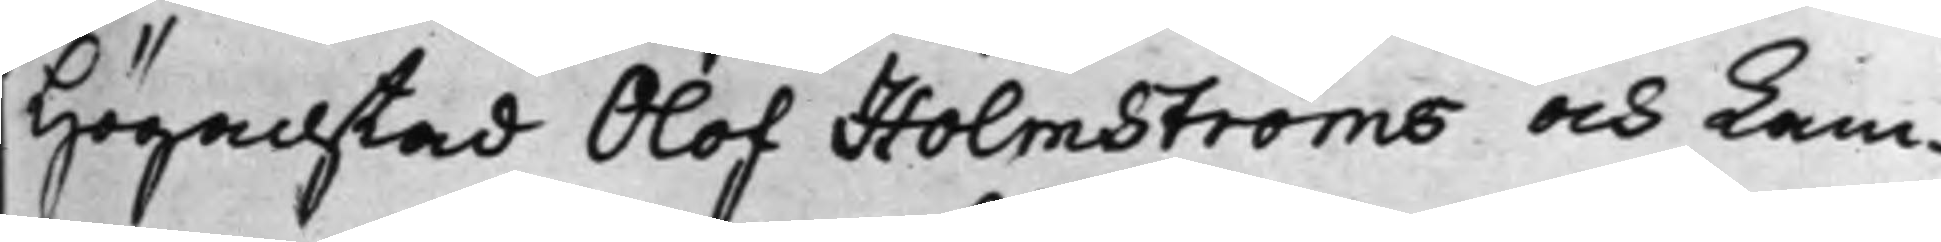Högachtad Olof Holmströms och Kam¬
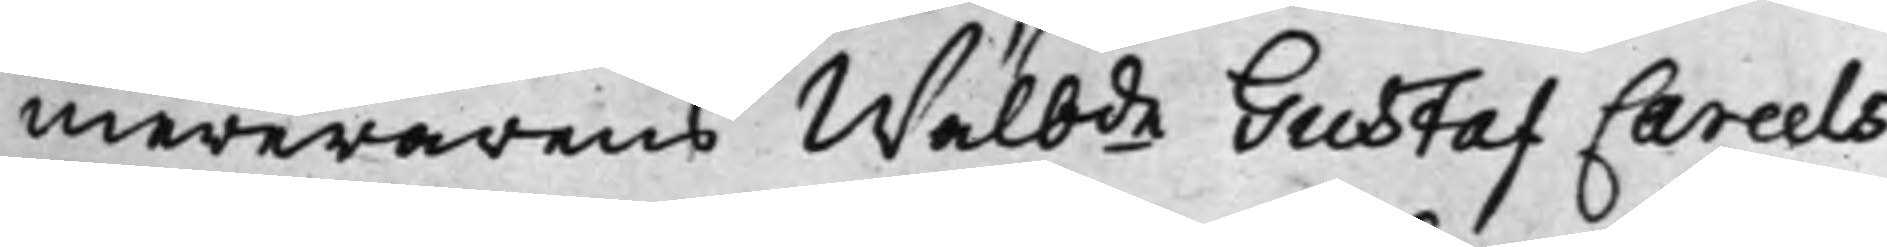mererarens Wälbde Gustaf Careels
